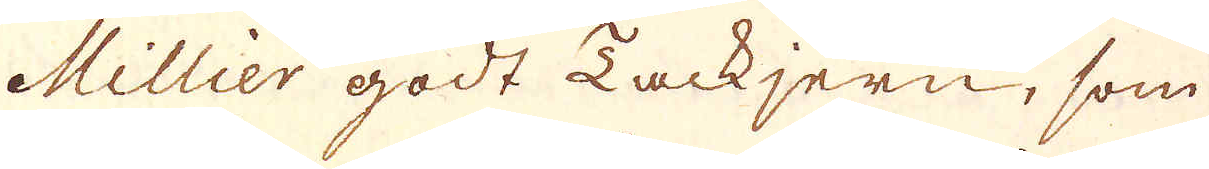Millier godt Tackjern, som
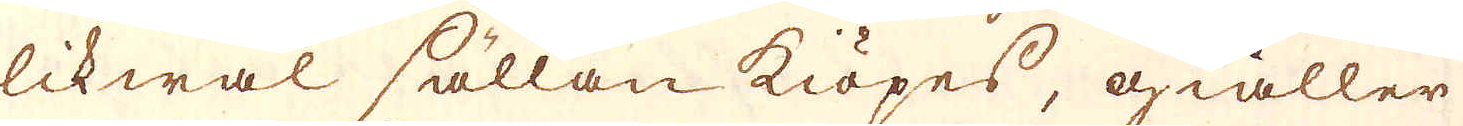likwäl sällan kiöpes, giäller
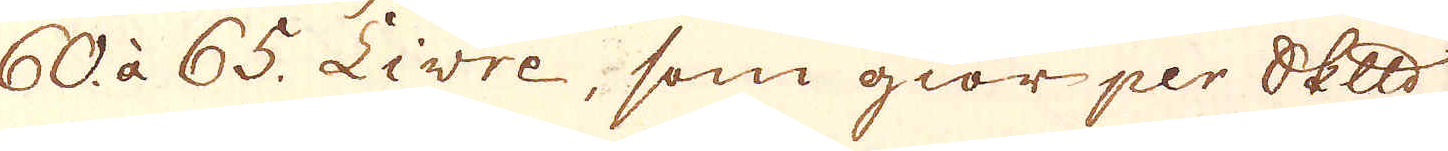60 à 65. Livre, som giör per Skeppund
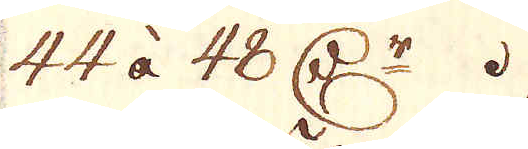44 àå 48 Dr.
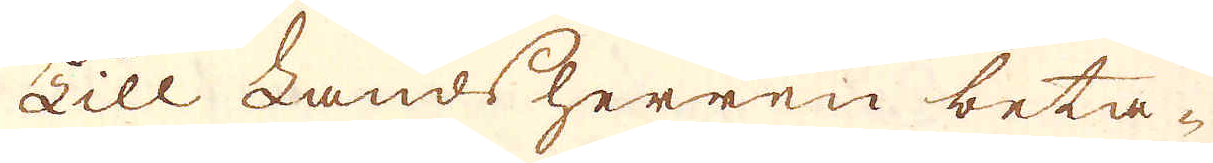Till Landsherren beta-
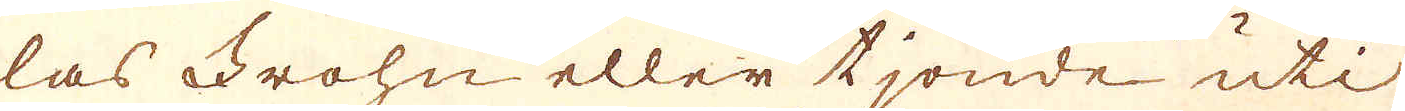las Frohn eller tjonde uti
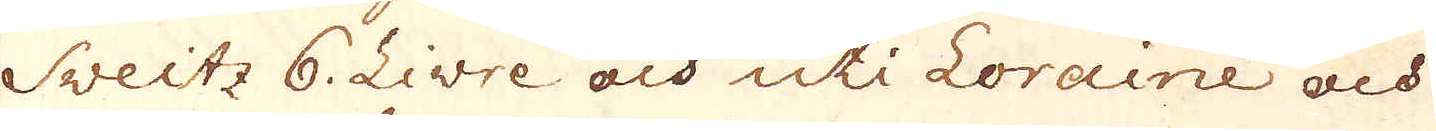Sweitz 6. Livre och uti Loraine och
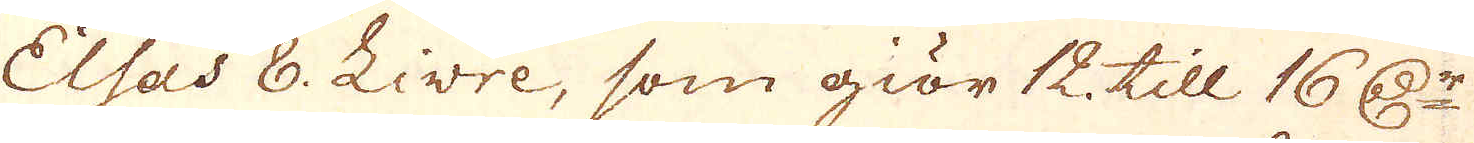Elsas 8. Livre, som giör 12. till 16 Dr
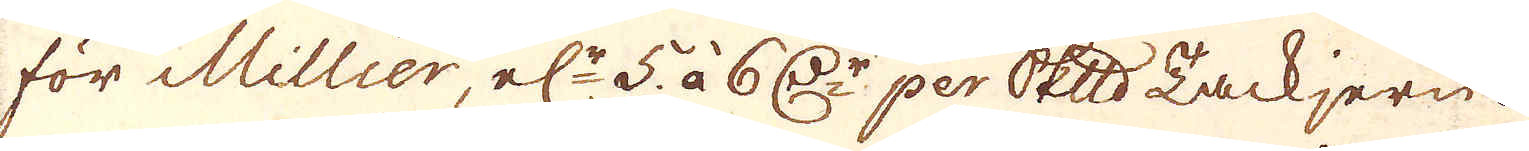för Millier, el:r 5. àå 6 Dr perSkeppundsTLackjern.
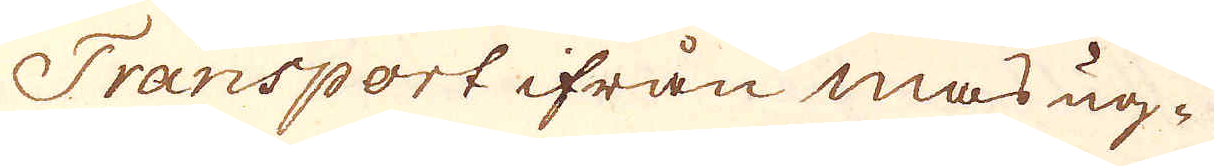Transport ifrån masug-
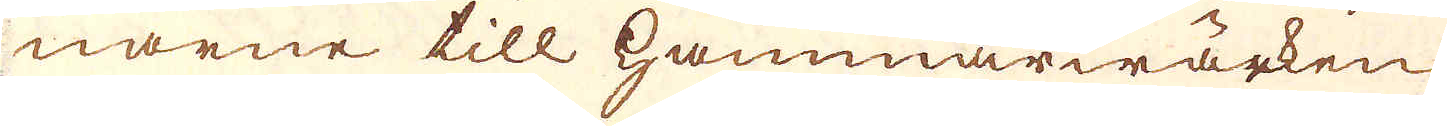narne till hammarwärken
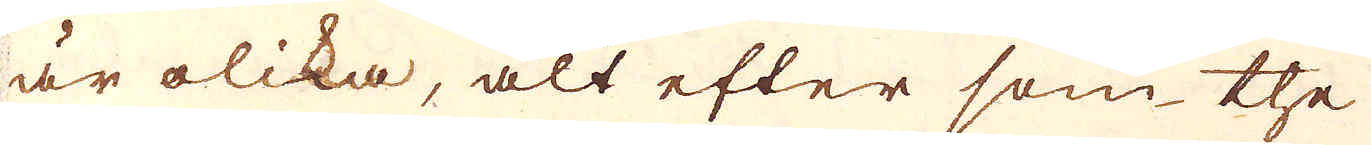är olika, alt efter som the
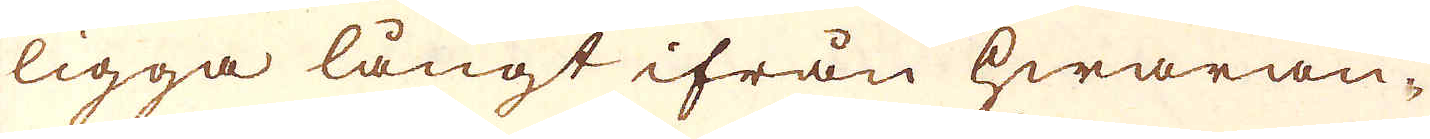ligga långt ifrån hwaran-
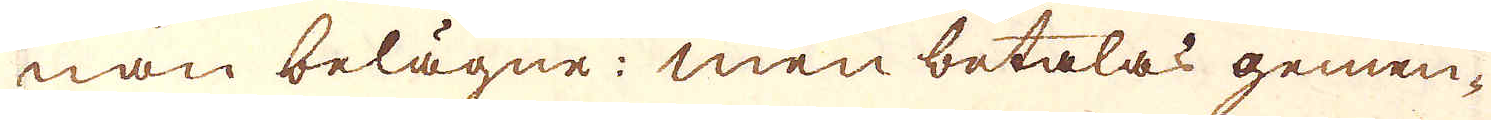nan belagne; en betalas gemen-
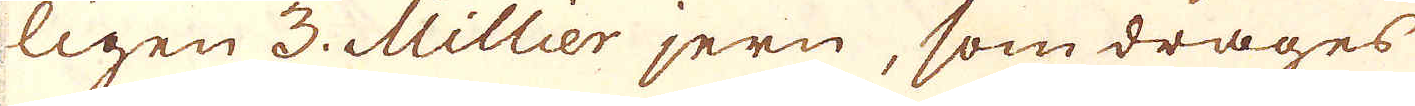ligen 3. Mlillier jern, som drages
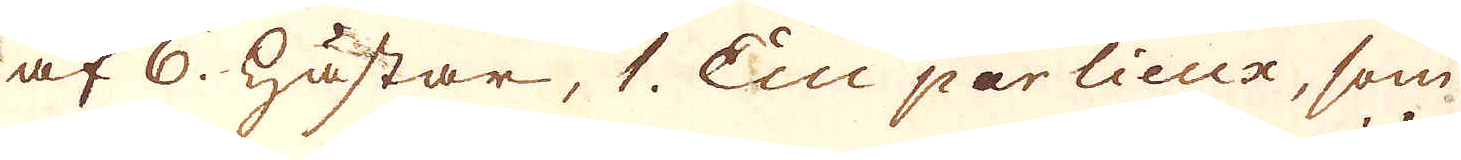af 6. hästar, 1. Ein par lieux, som
